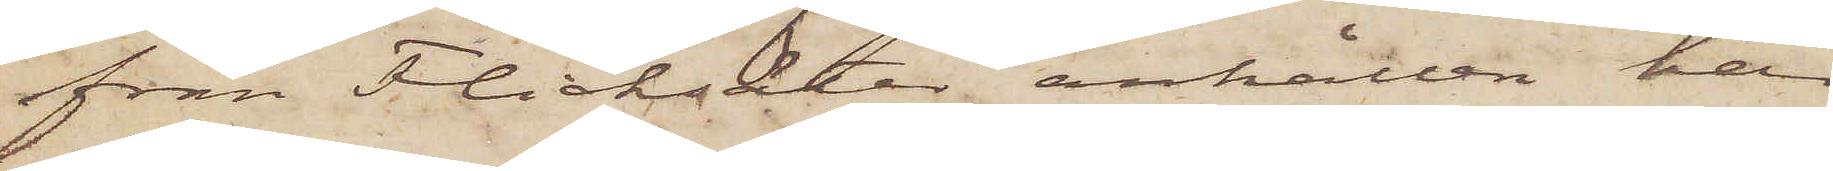från Flicksäter anhållen här
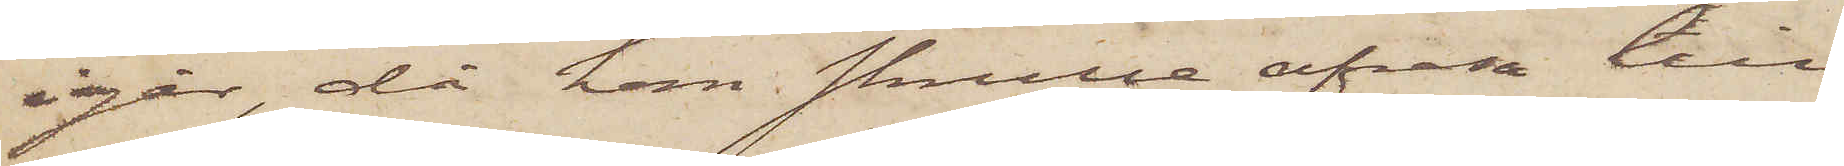igår, då han skulle afresa till
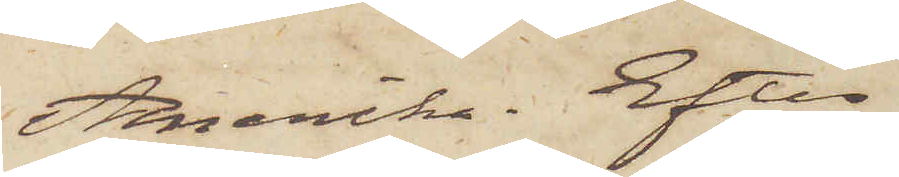Amerika. Efter
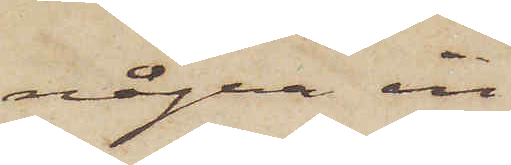några in¬
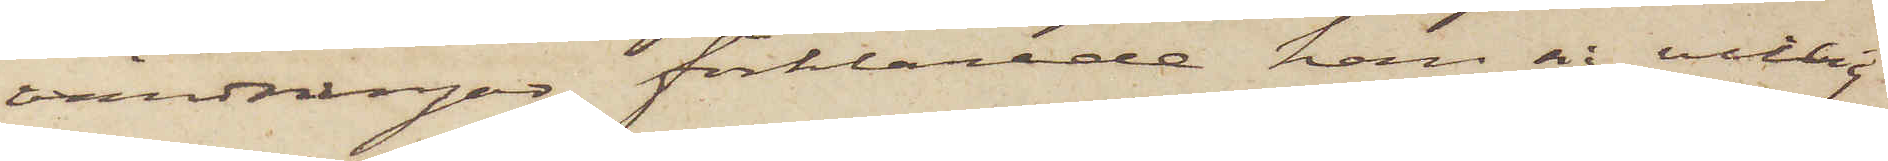vändningar förklarade han sig villig
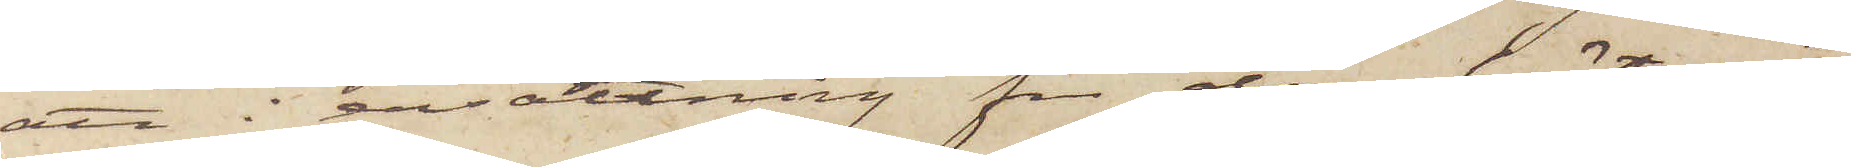att i ersättning för den häst och
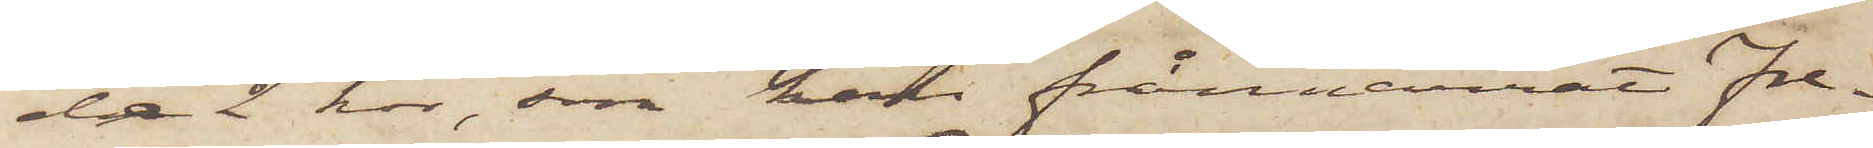de 2 kor, som han frånnarrat Fre¬
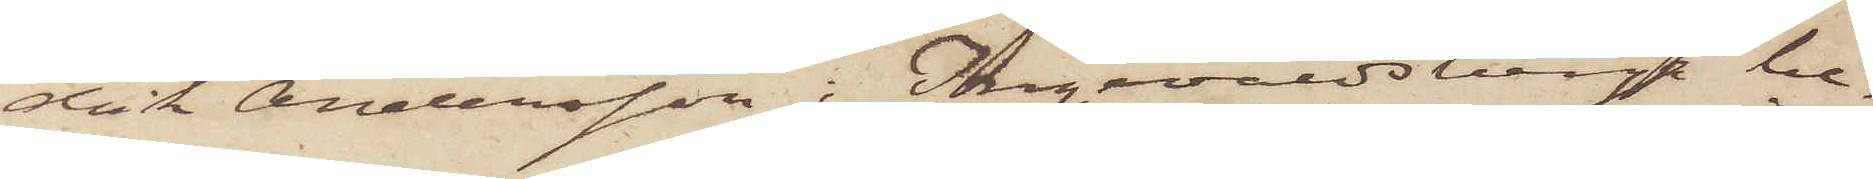drik Andersson i Ingevaldsberga be¬
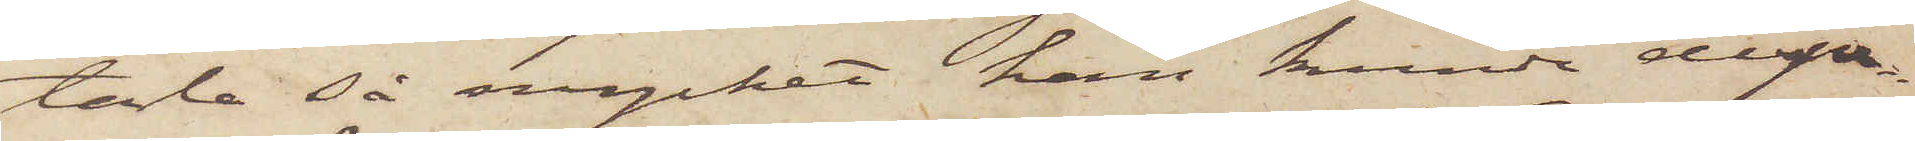tala så mycket, han kunde dispo¬
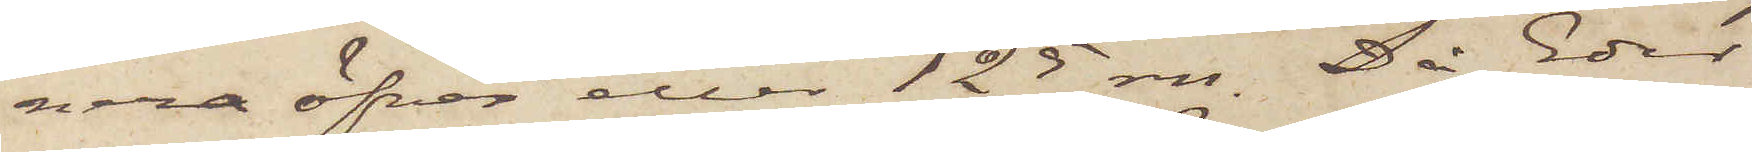nera öfver eller 125 rdr. Då Eder
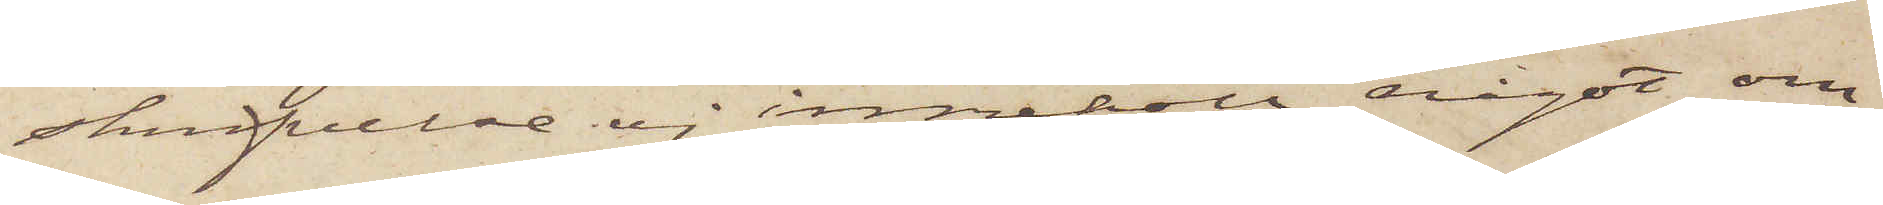skrifvelse ej innehöll något om
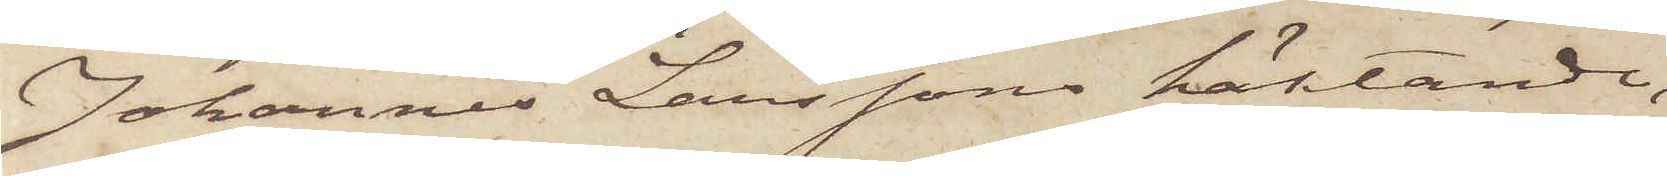Johannes Larssons häktande,
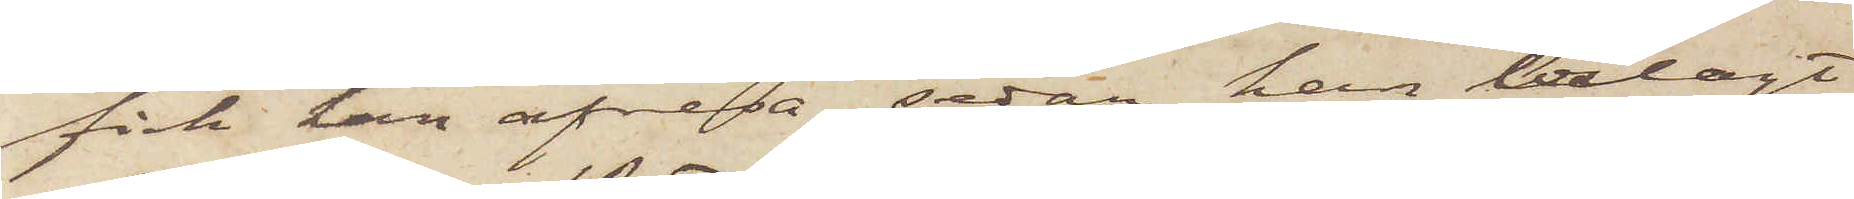fick han afresa, sedan han erlagt
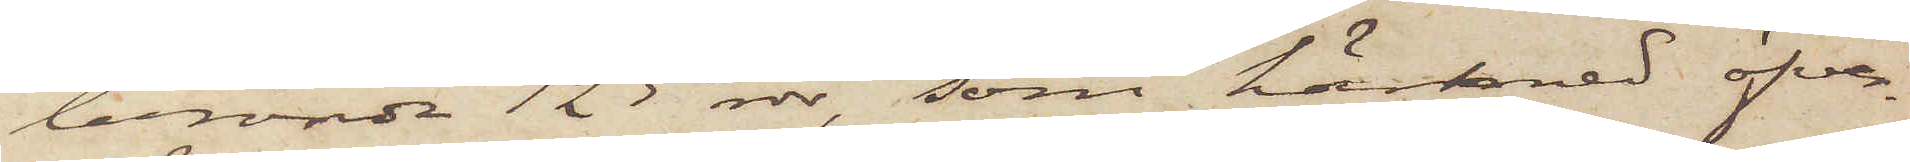berörde 125 rdr, som härmed öfver¬
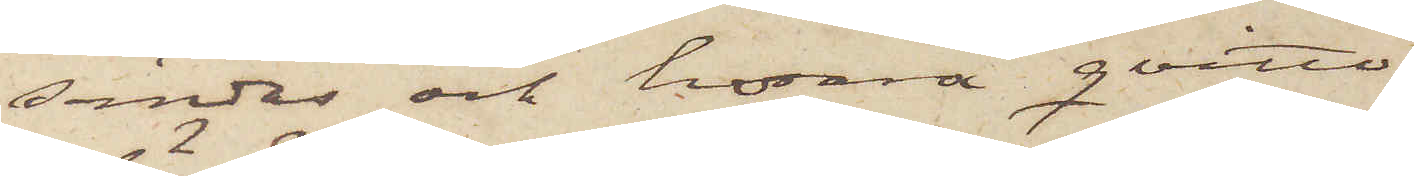sändes och hvarå qvitto
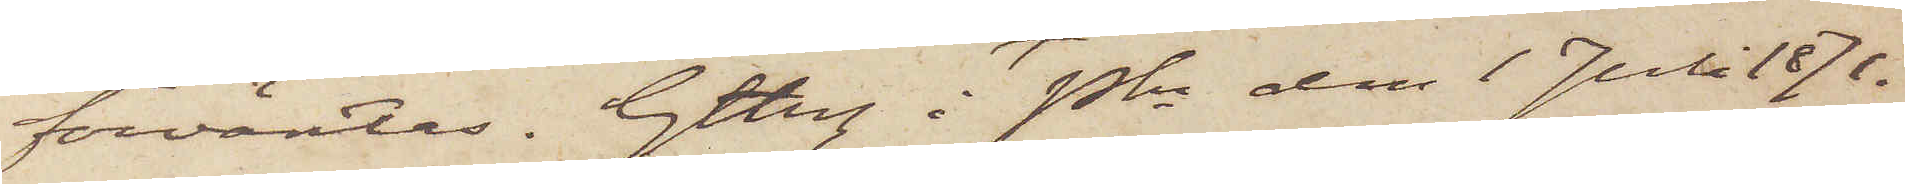förväntas. Gtbrg i Pkn den 1 Juli 1871.
